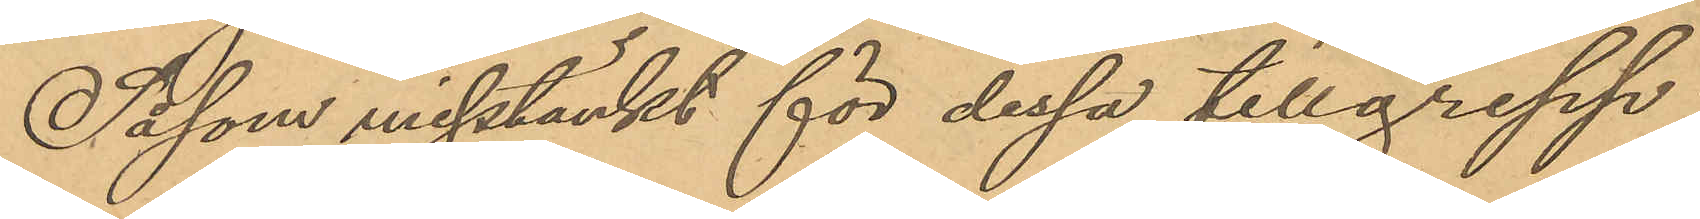Såsom misstänkt för dessa tillgrepp
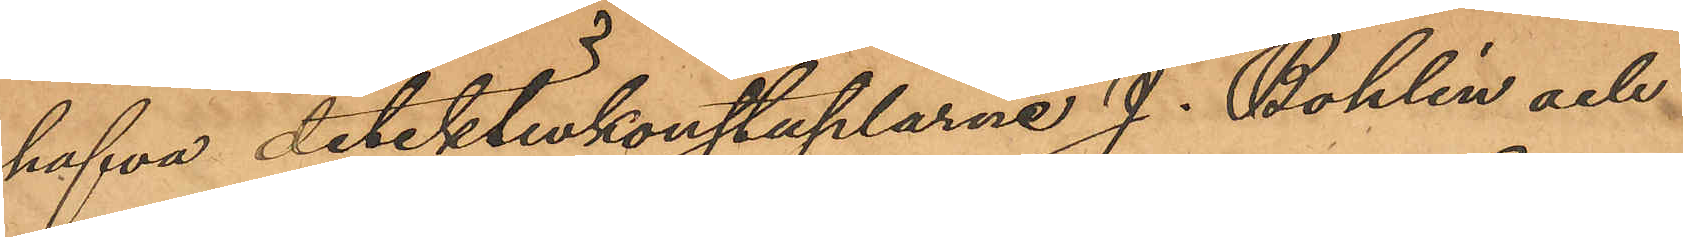hafva detektivkonstaplarne J. Bohlin och
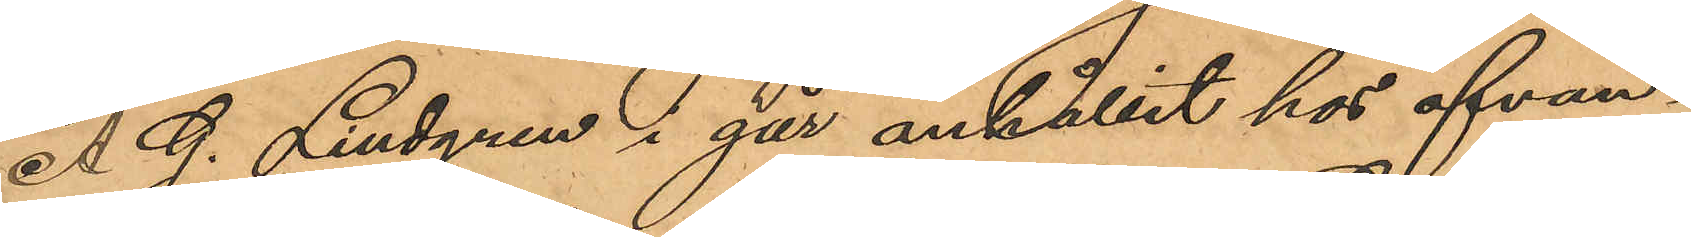A. G. Lindgren i går anhållit hos ofvan¬
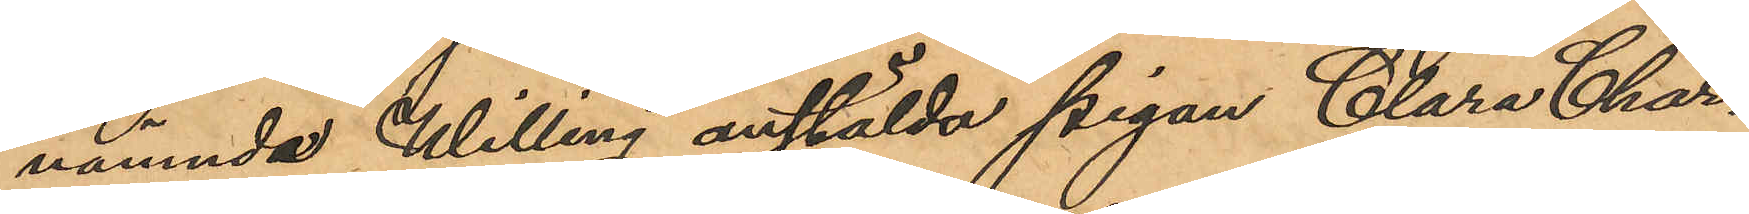nämnda Willing anstälda pigan Clara Char¬
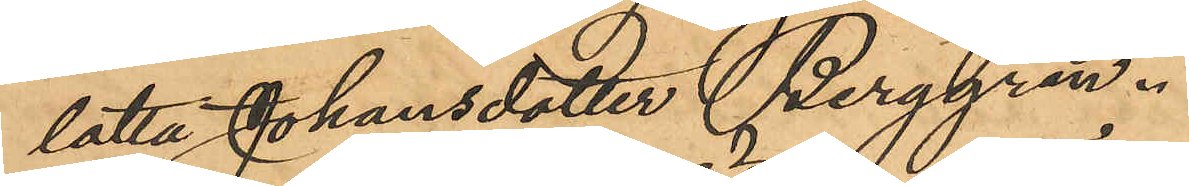lotta Johansdotter Berggren.
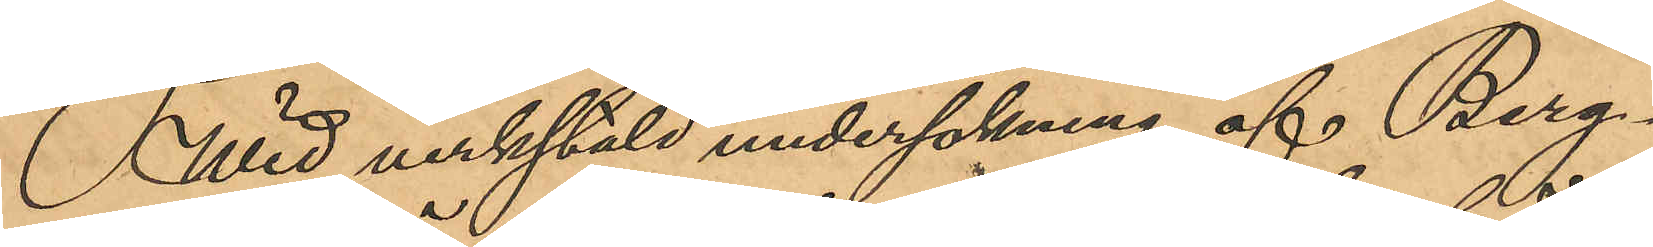Wid verkstäld undersökning af Berg¬
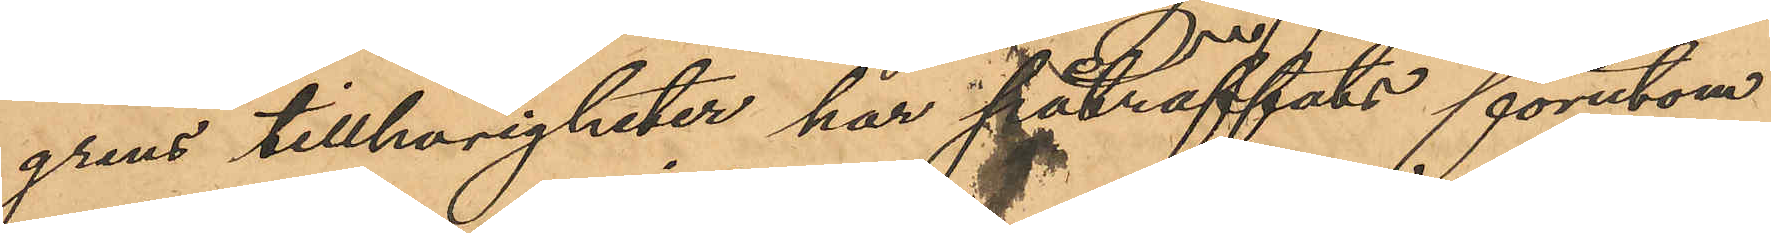grens tillhörigheter har påträffats förutom
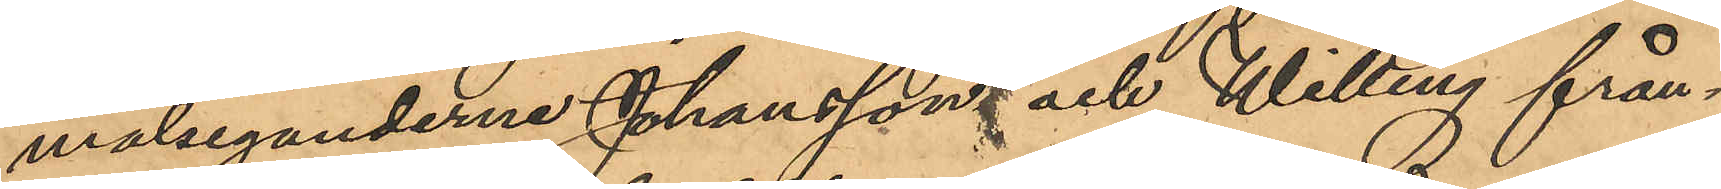målseganderne Johansson och Willing från¬
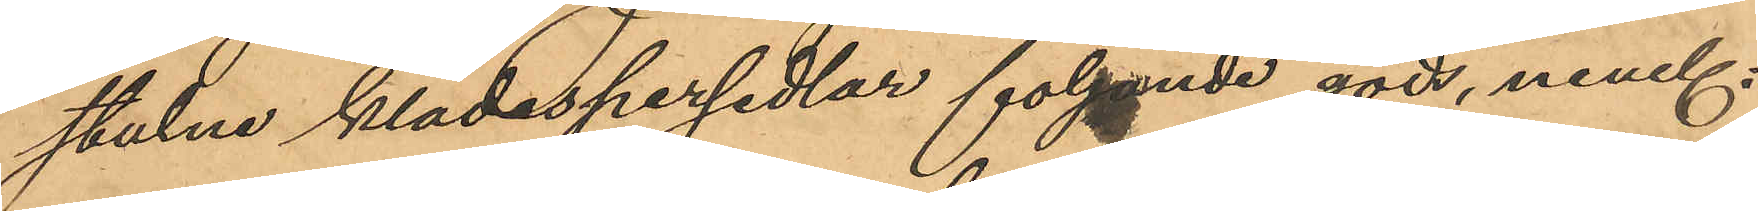stulne klädespersedlar följande gods, neml:
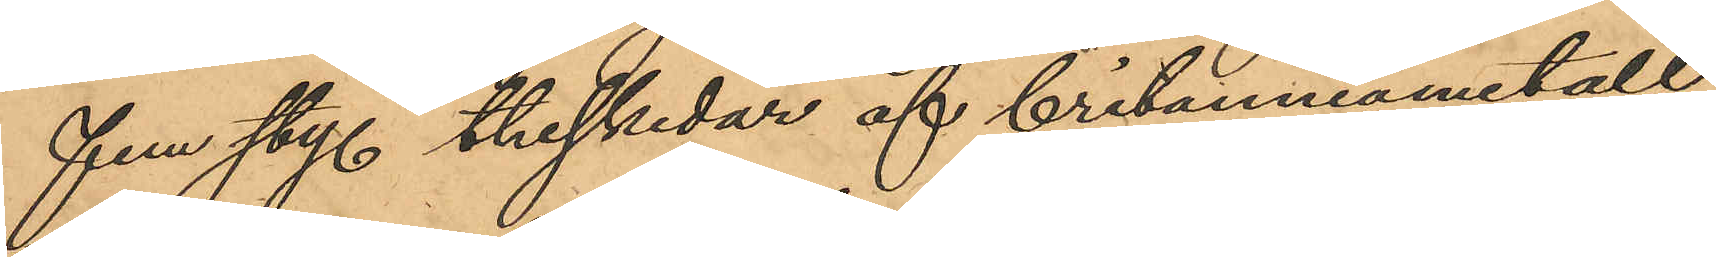fem sty. theskedar af britanniametall,
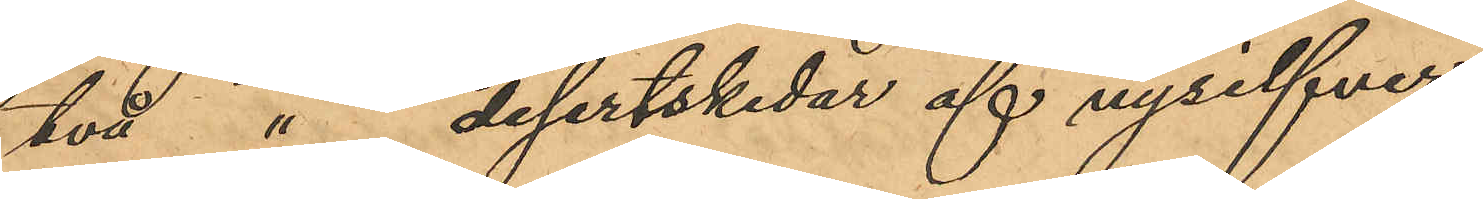två " desertskedar af nysilfver,
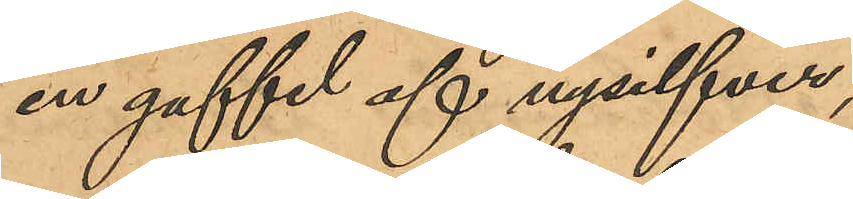en gaffel af nysilfver,
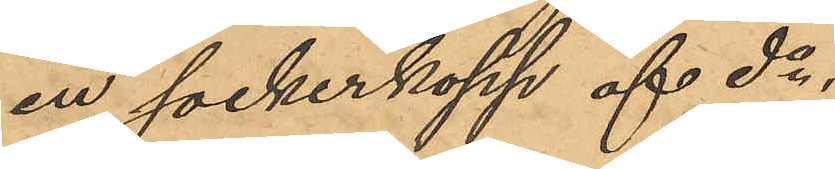en sockerkopp af do ,
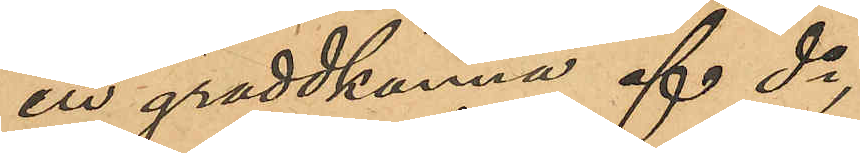en gräddkanna af do ,
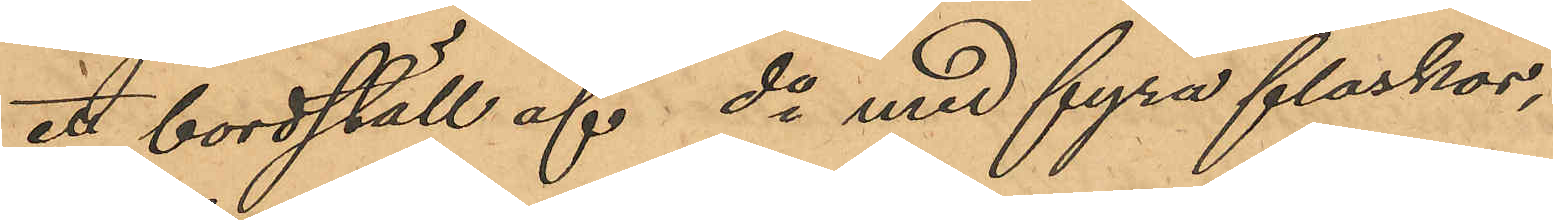ett bordställ af do med fyra flaskor,
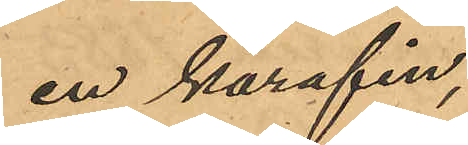en karafin,
